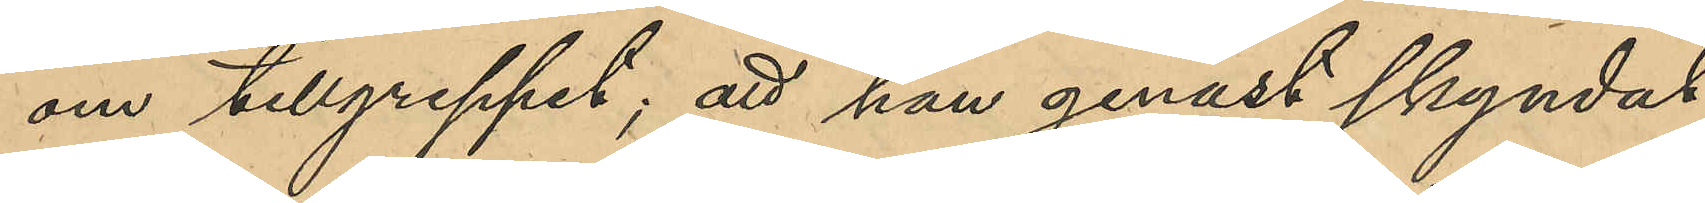om tillgreppet, att han genast skyndat
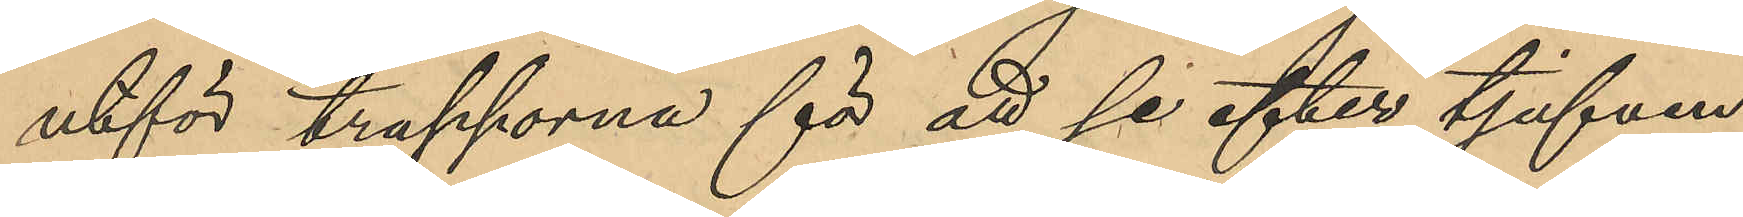utför trapporna för att se efter tjufven;
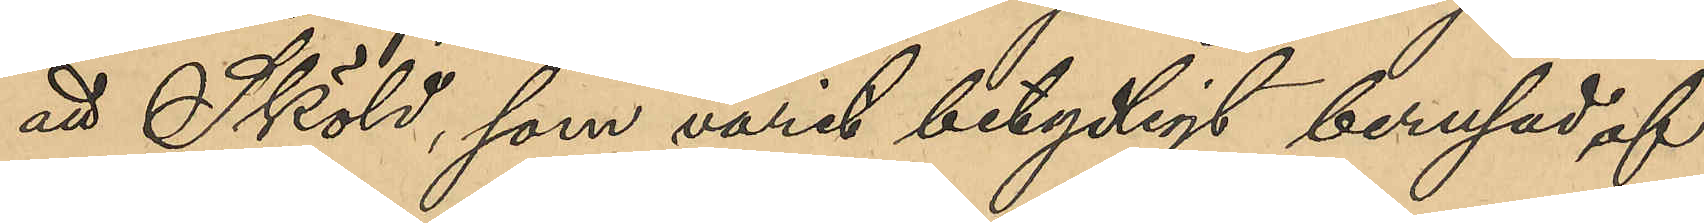att Sköld, som varit betydligt berusad af
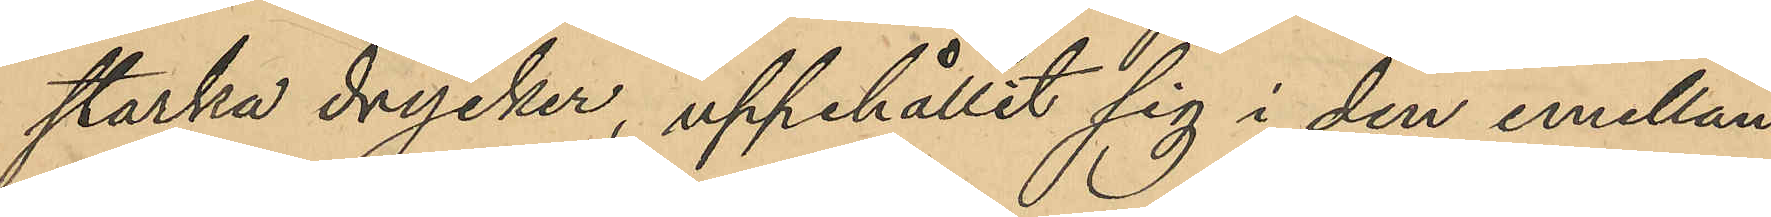starka drycker, uppehållit sig i den emellan
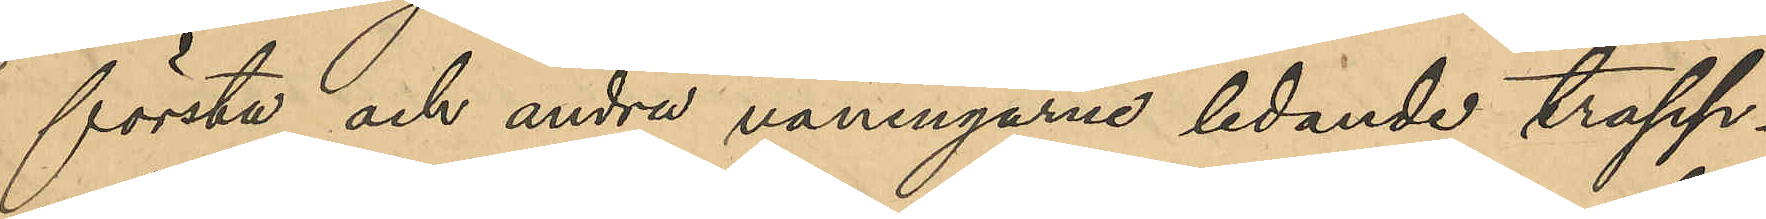första och andra våningarne ledande trapp¬
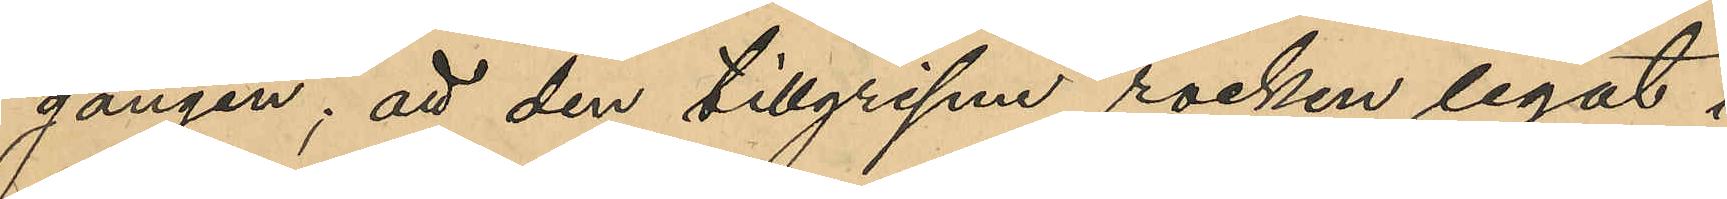gången; att den tillgripne rocken legat i
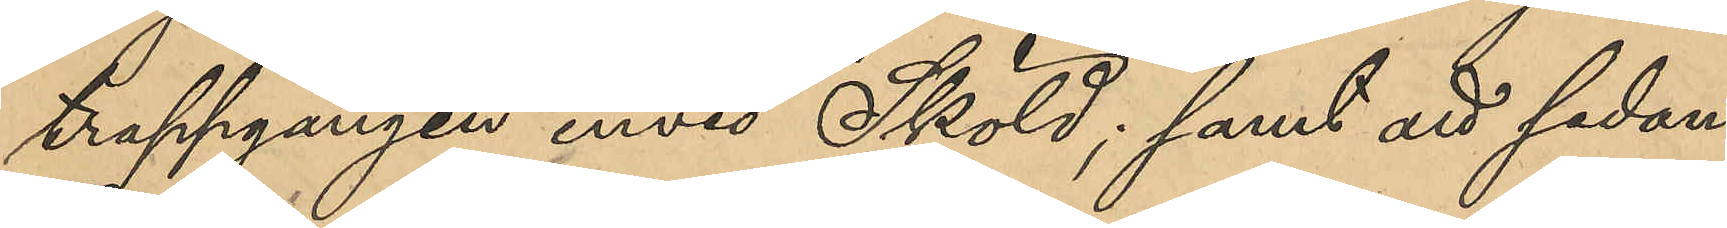trappgången invid Sköld; samt att sedan
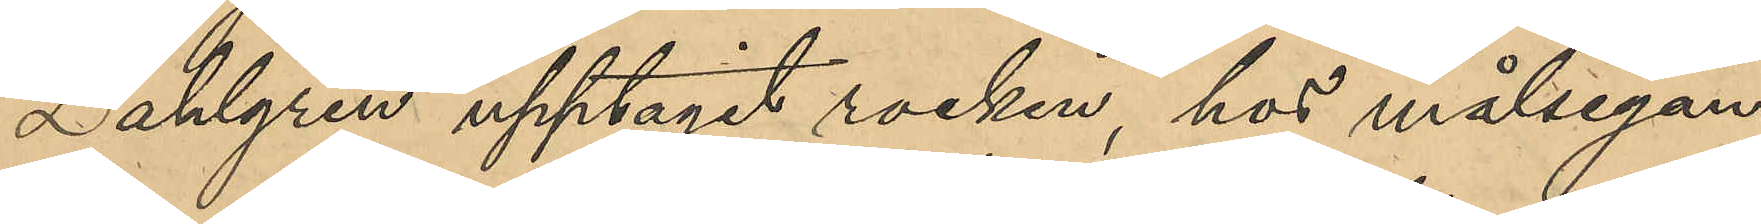Dahlgren upptagit rocken, hos målsegan¬
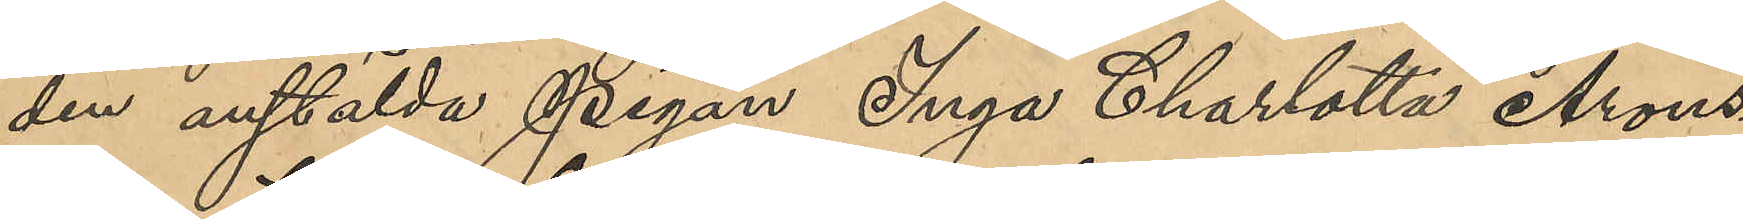den anstälda pigan Inga Charlotta Arons¬
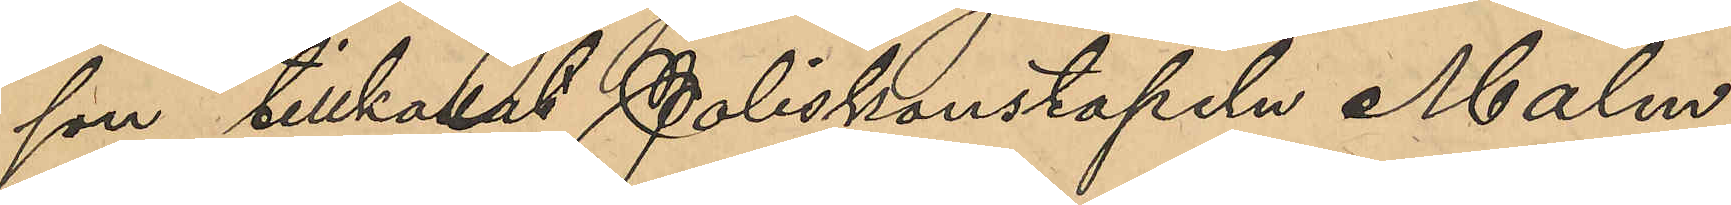son tillkallat Poliskonstapeln Malm,
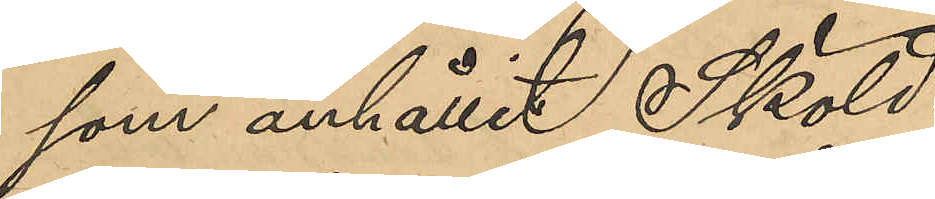som anhållit Sköld;
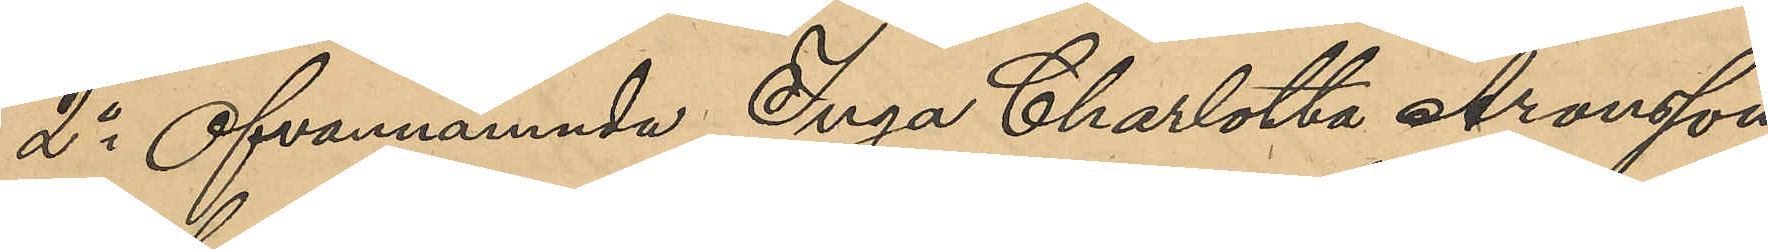2o Ofvannämnda Inga Charlotta Aronsson:
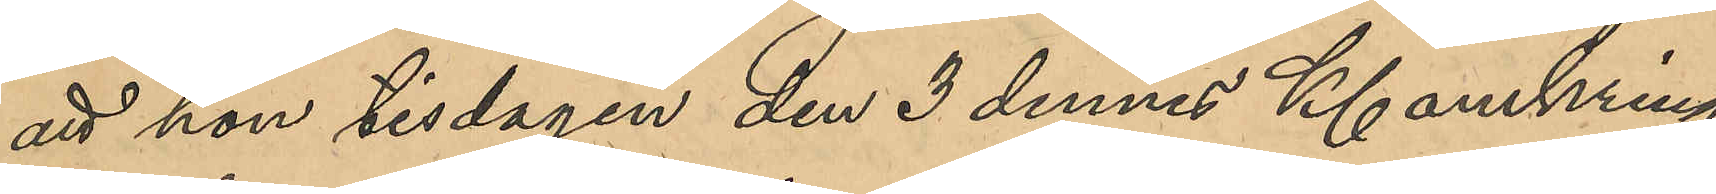att hon tisdagen den 3 dennes Kl omkring
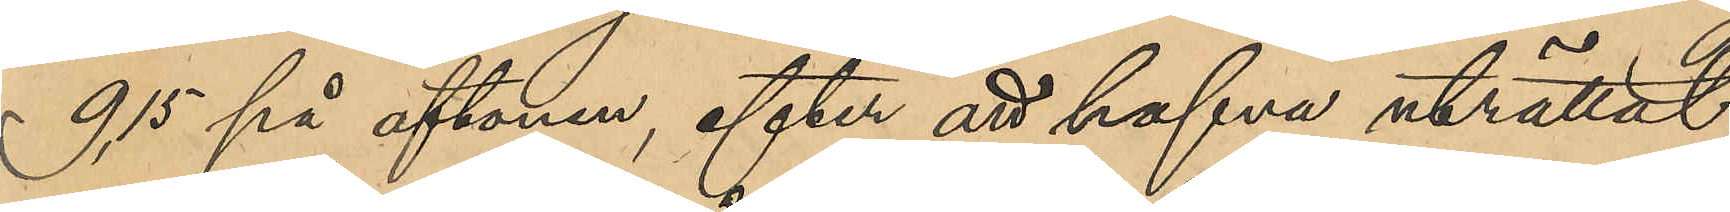9,15 på aftonen, efter att hafva uträttat
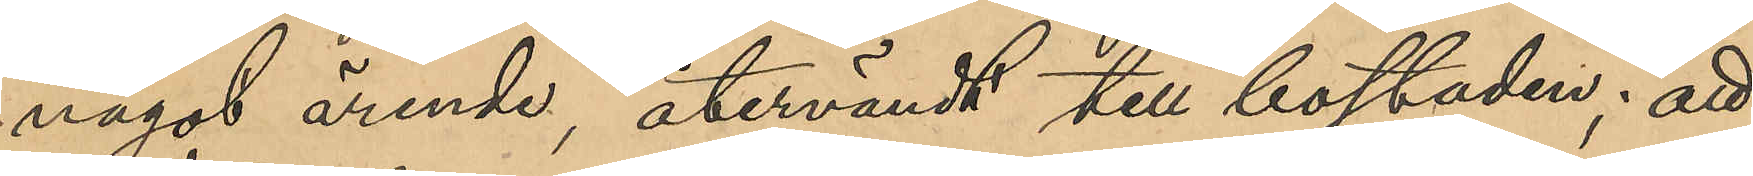något ärende, återvändt till bostaden; att
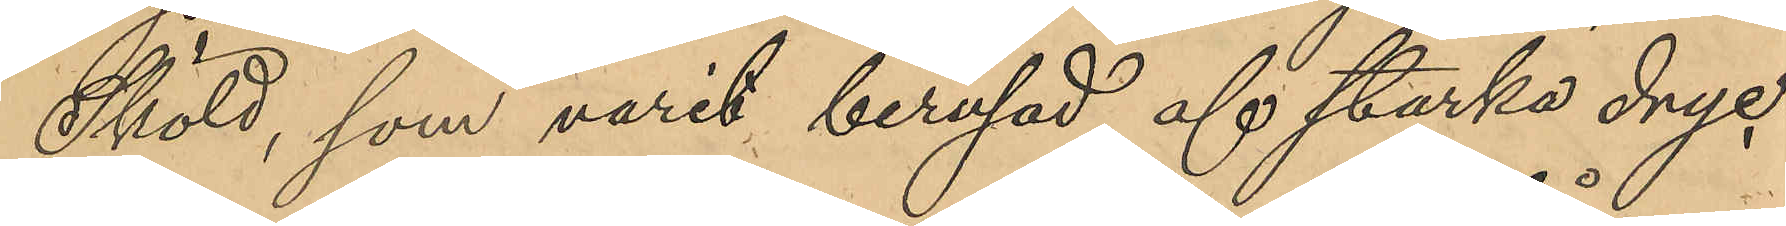Sköld, som varit berusad af starka dryc¬
